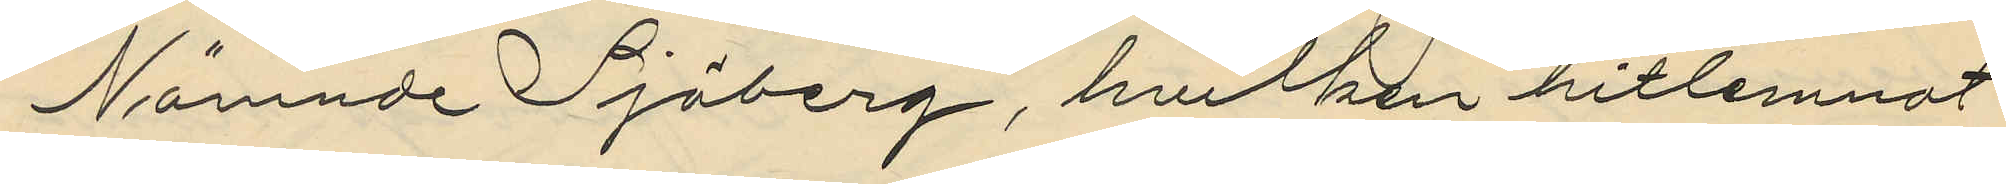Nämnde Sjöberg, hvilken hitlemnat
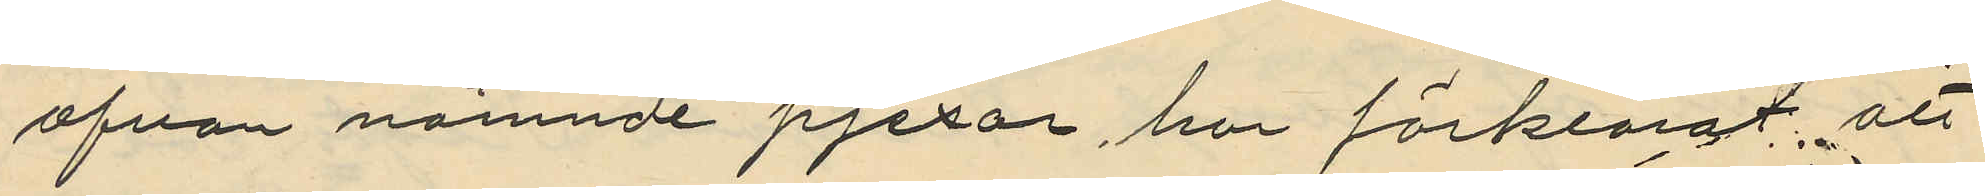ofvan nämnde pjexor, har förklarat, att
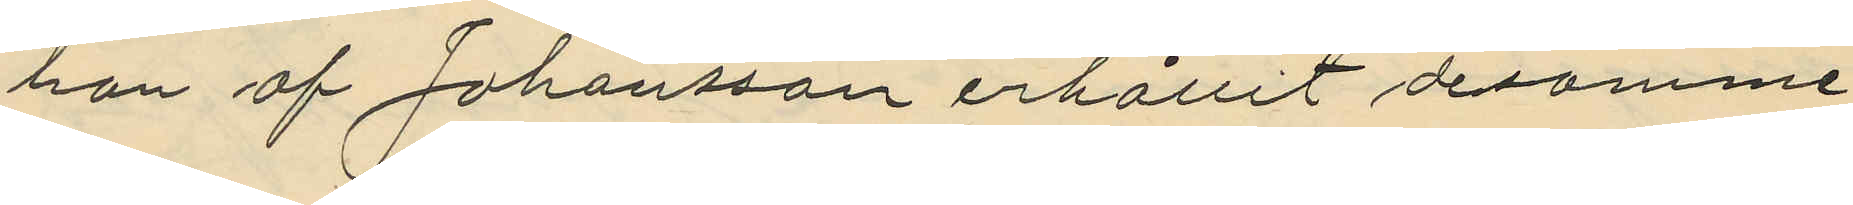han af Johansson erhållit desamme
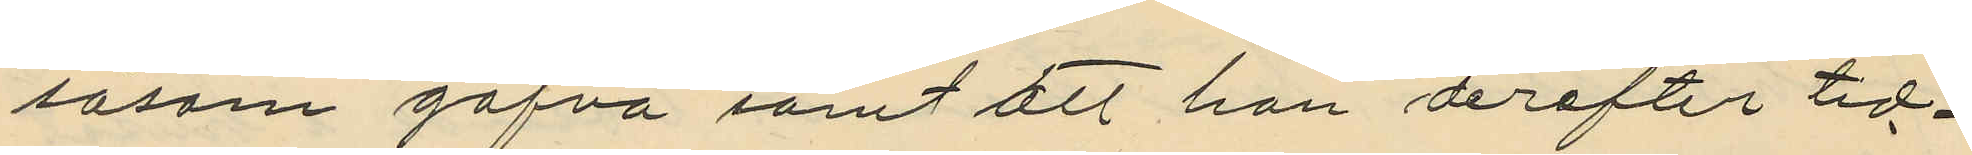såsom gåfva samt att han derefter tid¬
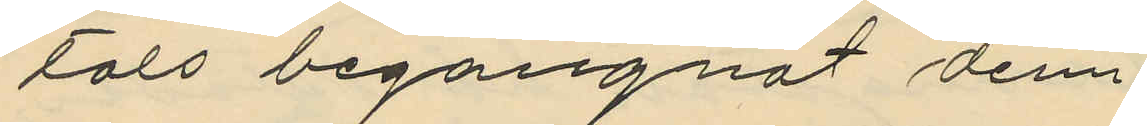tals begagnat dem.
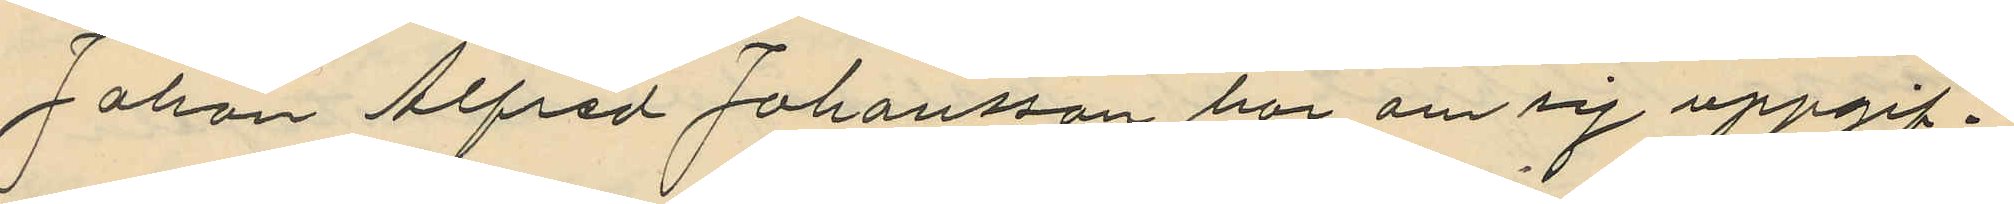Johan Alfred Johansson har om sig uppgif¬
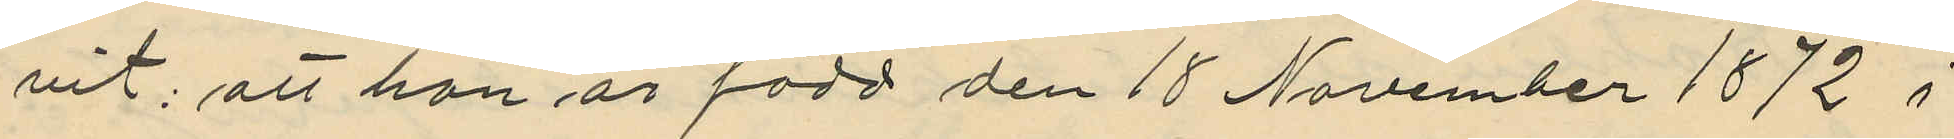vit; att han är född den 18 November 1872 i
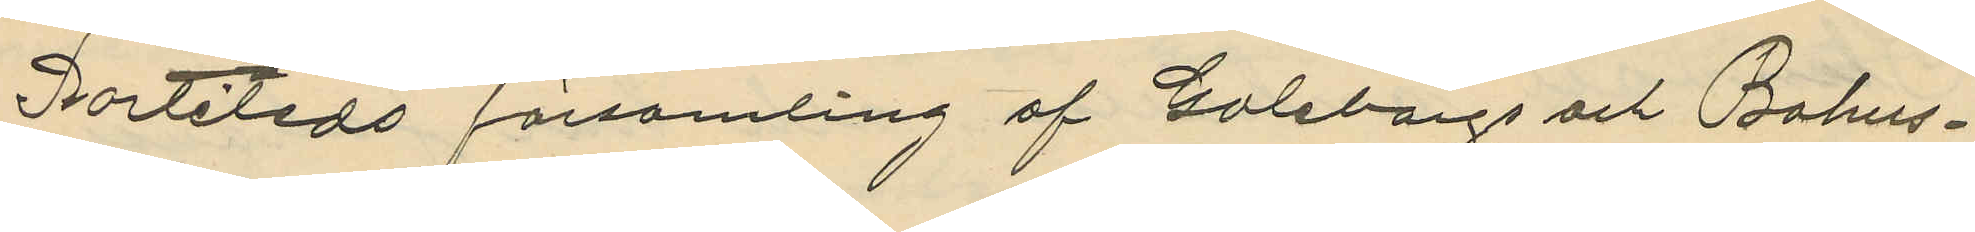Partileds församling af Göteborgs och Bohus¬
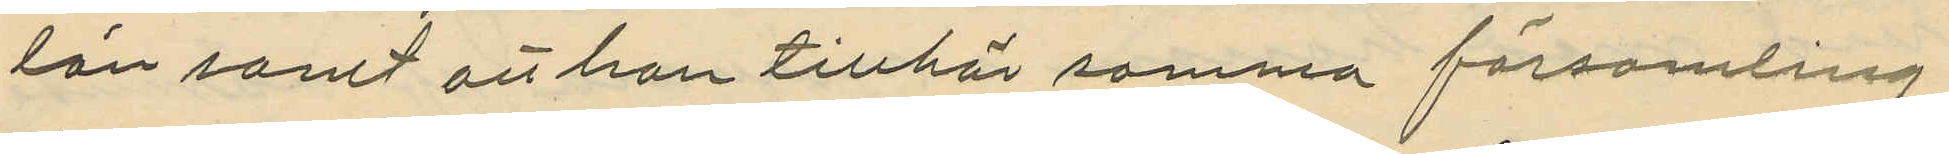län samt att han tillhör samma församling
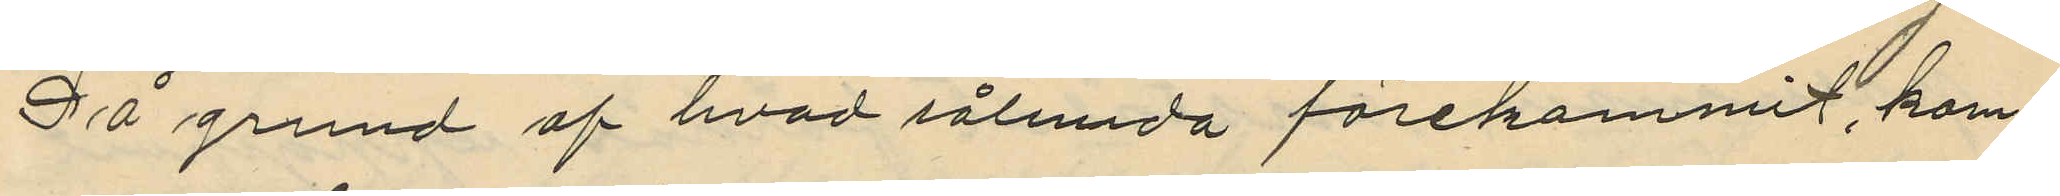På grund af hvad sålunda förekommit, kom¬
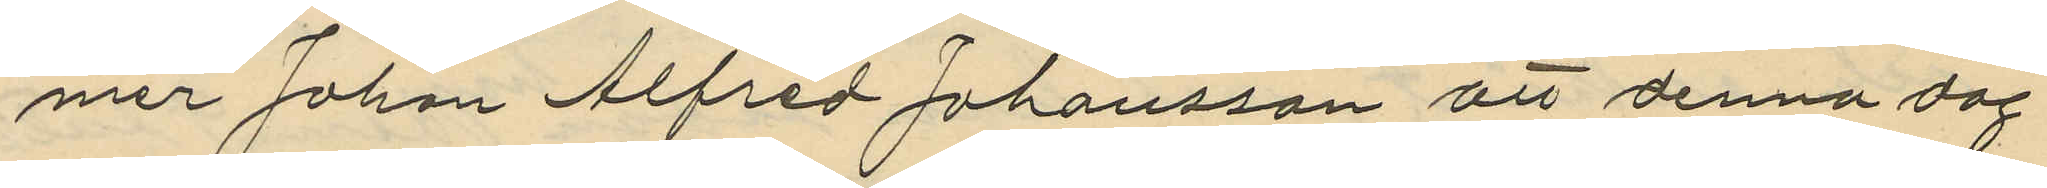mer Johan Alfred Johansson att denna dag
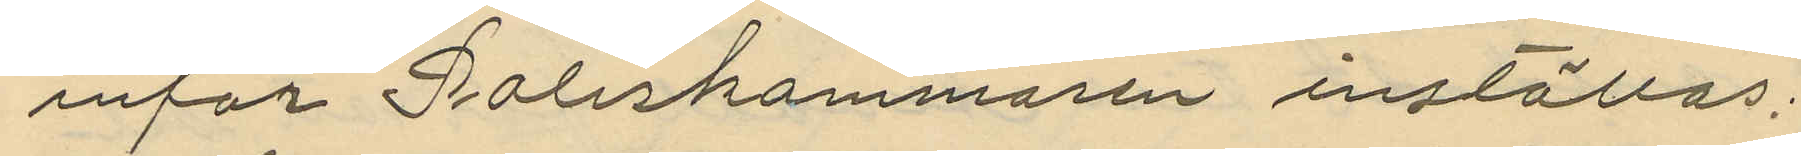inför Poliskammaren inställas;
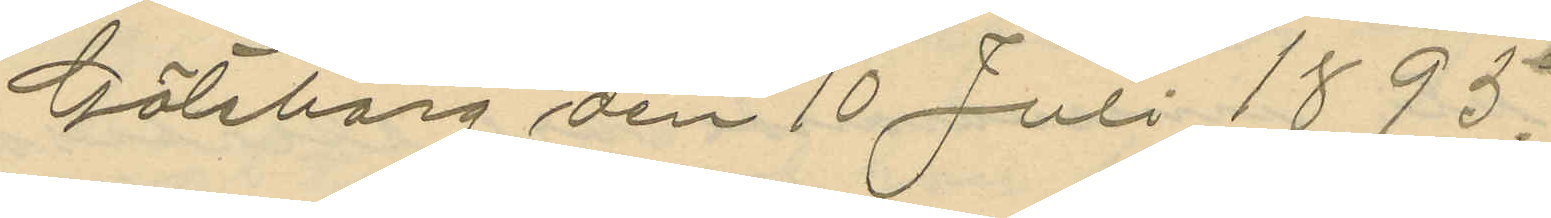Göteborg den 10 Juli 1895.
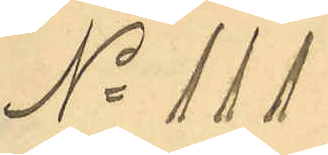No 111
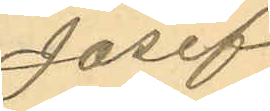Josef
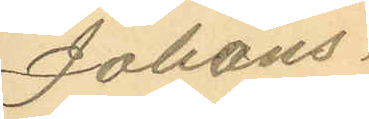Johans
